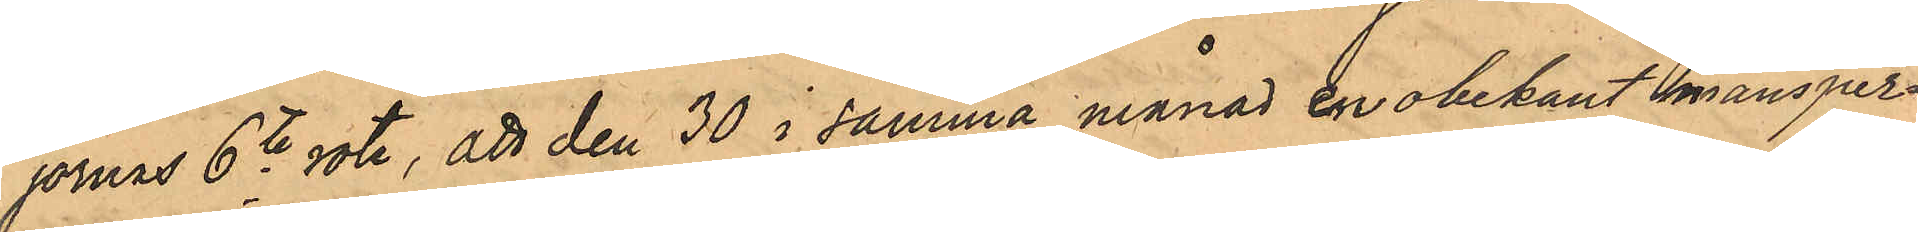jornas 6te rote, att den 30 i samma månad en obekant mansper¬
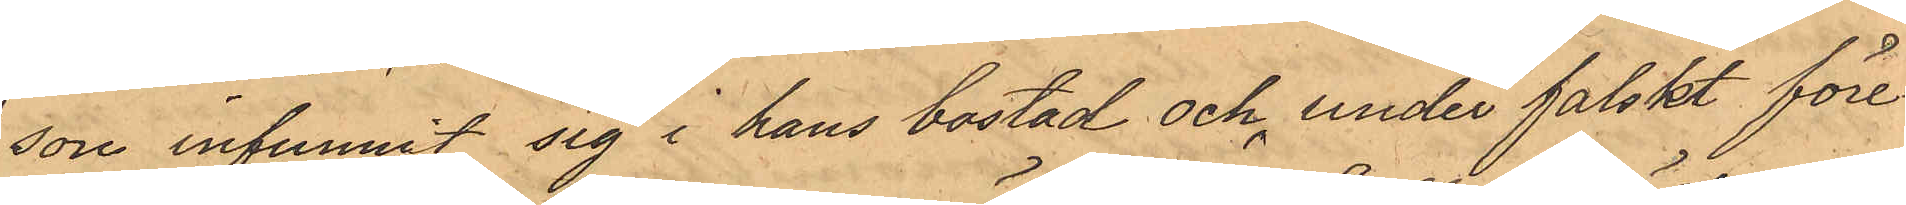son infunnit sig i hans bostad och under falskt före¬
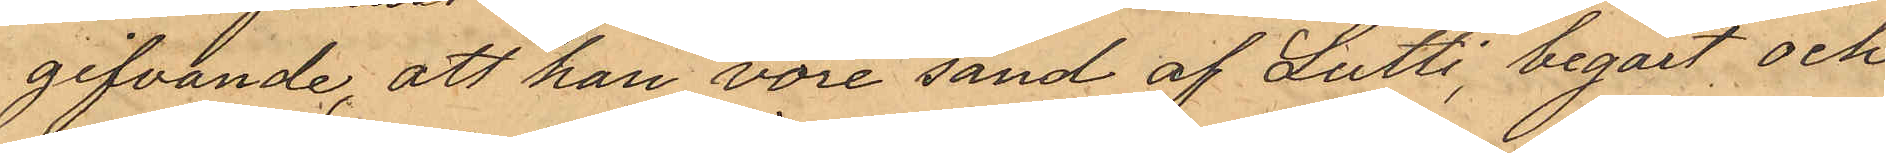gifvande, att han vore sänd af Lutti, begärt, och
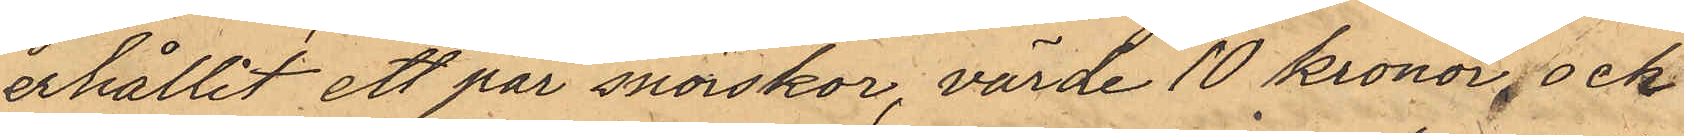erhållit ett par snörskor, värde 10 kronor, och
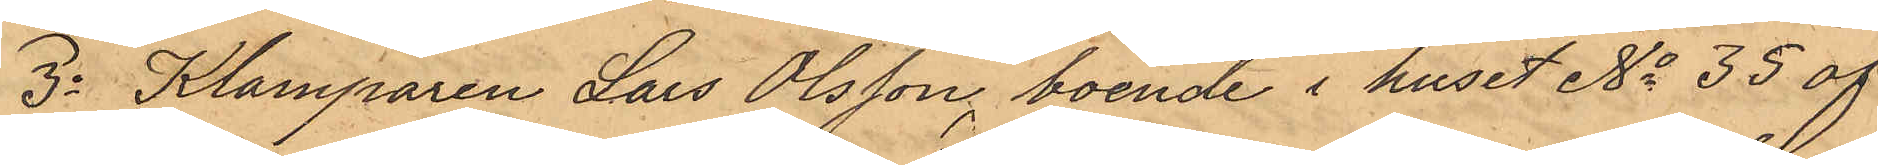3o Klamparen Lars Olsson, boende i huset No 35 af
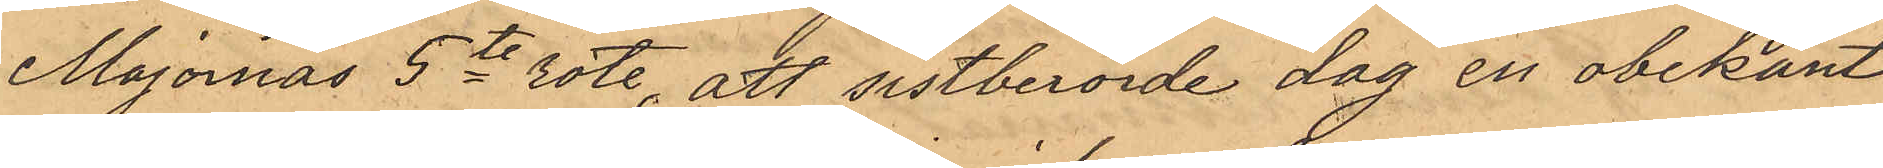Majornas 5te rote, att sistberörde dag en obekant
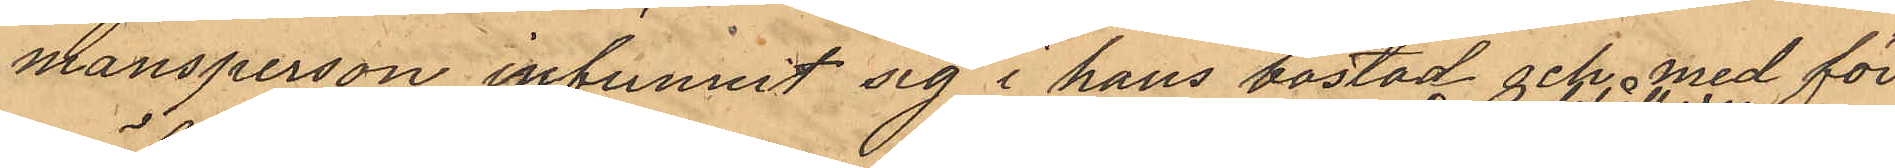mansperson infunnit sig i hans bostad och med för¬
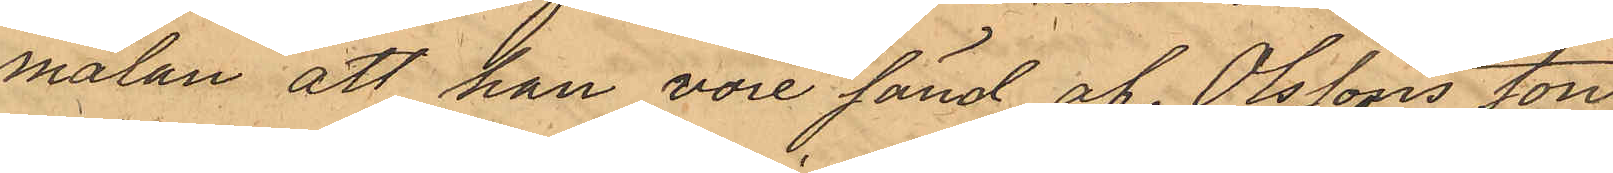mälan att han vore sänd af Olssons son
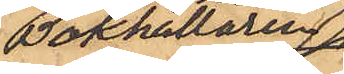Bokhållaren
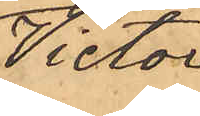Victor
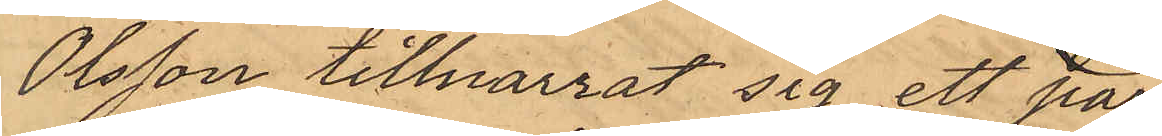Olsson tillnarrat sig ett par
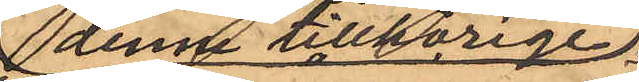denne tillhörige
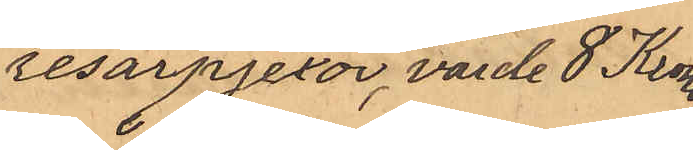resårpjexor, värde 8 Kronor.
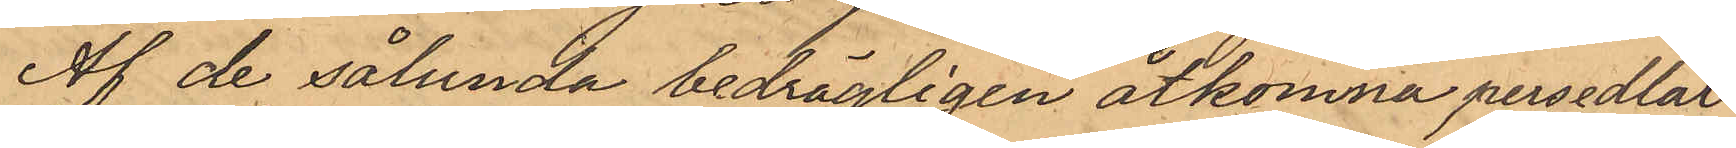Af de sålunda bedrägligen åtkomna persedlar¬
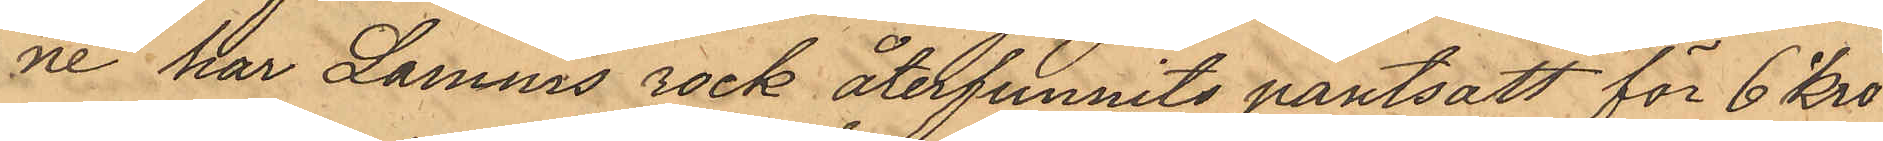ne har Lamms rock återfunnits pantsatt för 6 kro¬
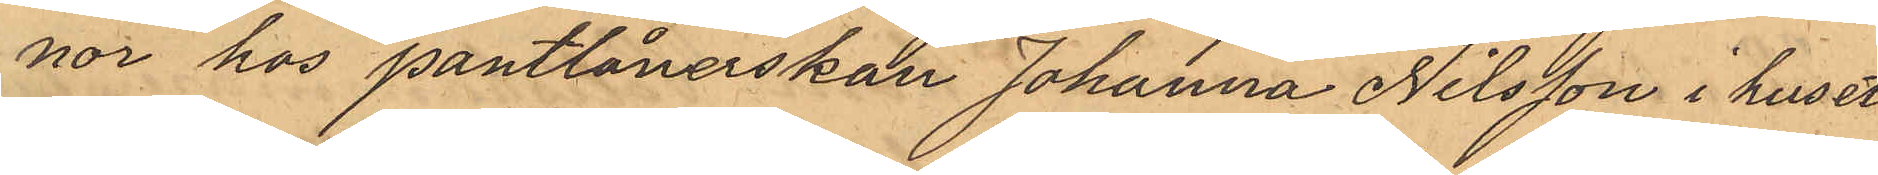nor hos pantlånerskan Johanna Nilsson i huset
